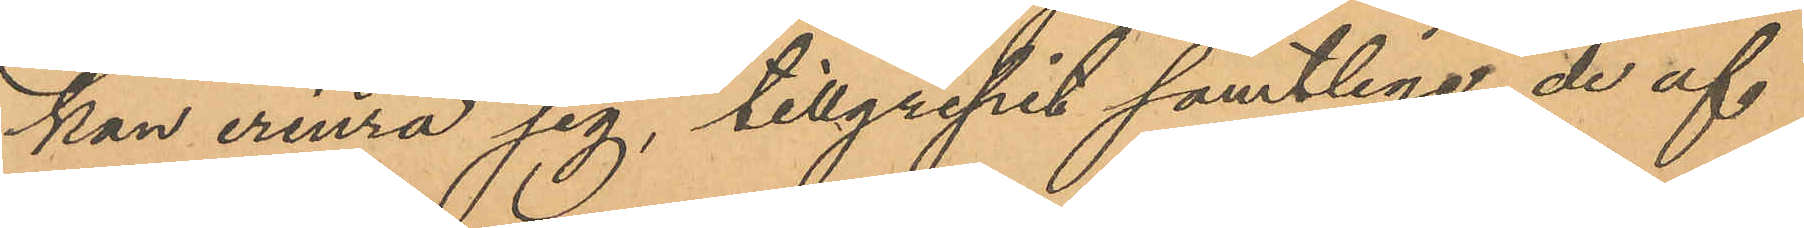kan erinra sig, tillgripit samtlige de af
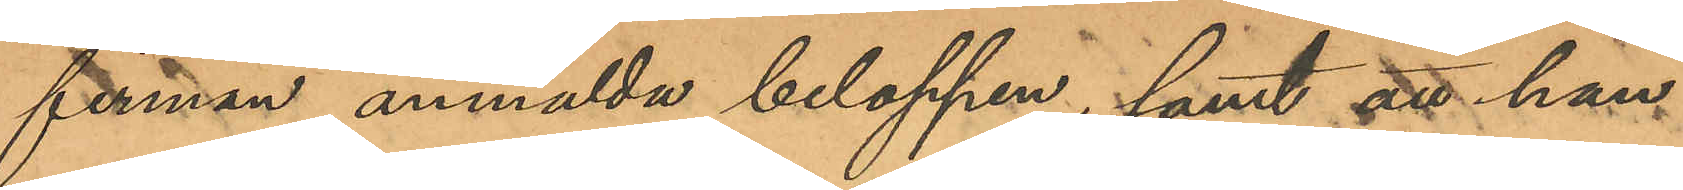firman anmälda beloppen; samt att han
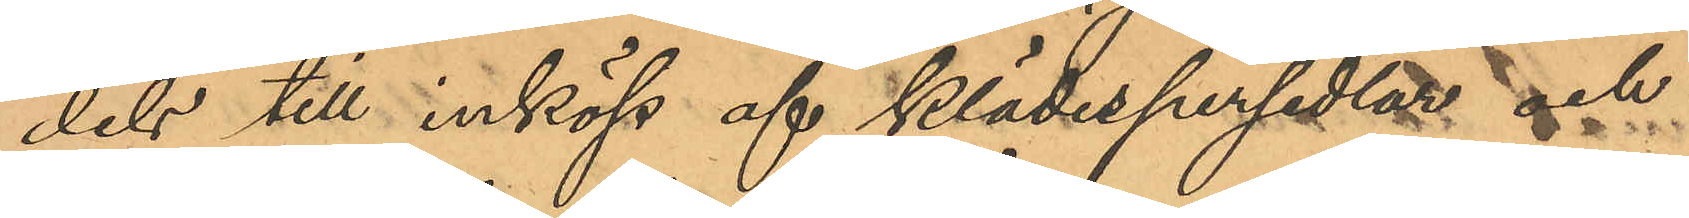dels till inköp af klädespersedlars och
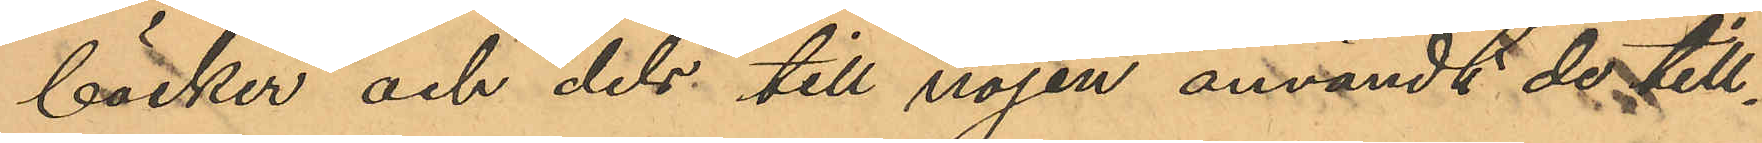böcker och dels till nöjen användt de till¬
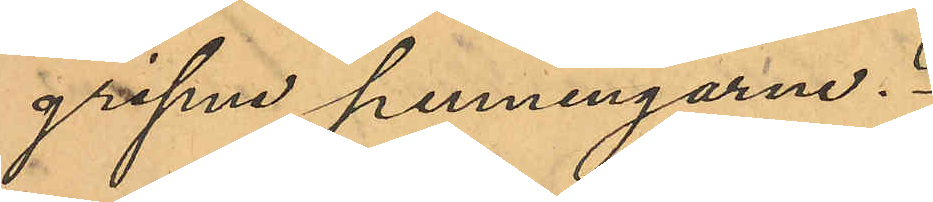gripne penningarne.
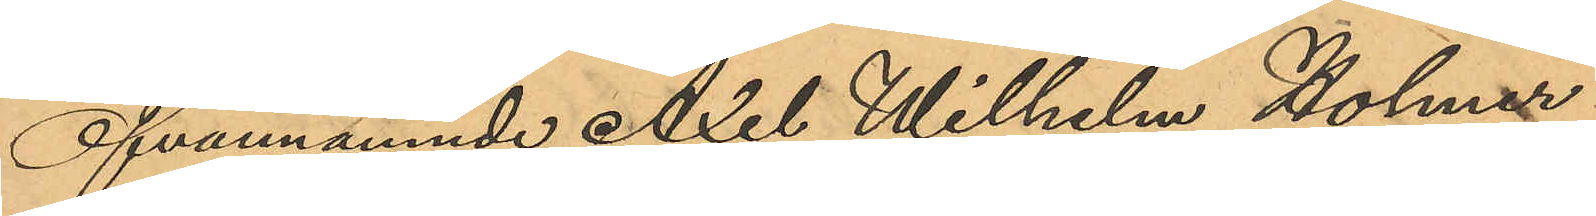Ofvannämnde Axel Wilhelm Holmer
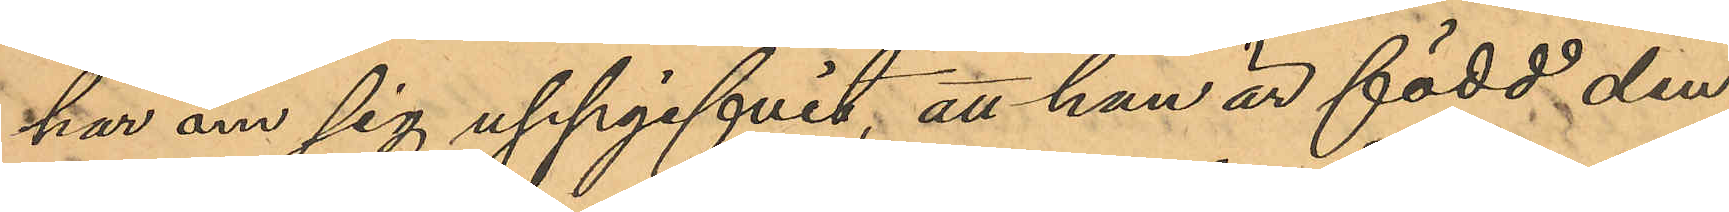har om sig uppgifvit, att han är född den
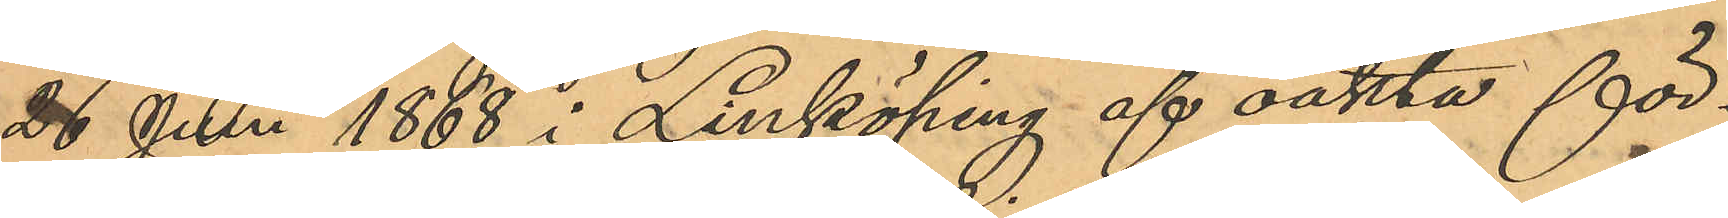26 Juni 1868 i Linköping af oäkta för¬
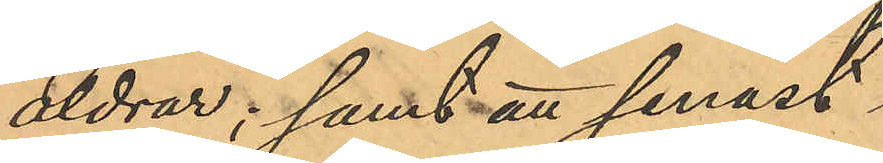äldrar; samt att senast
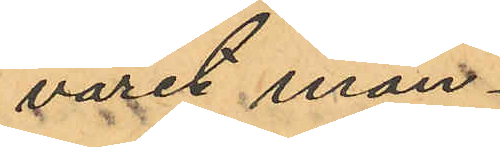varit man¬
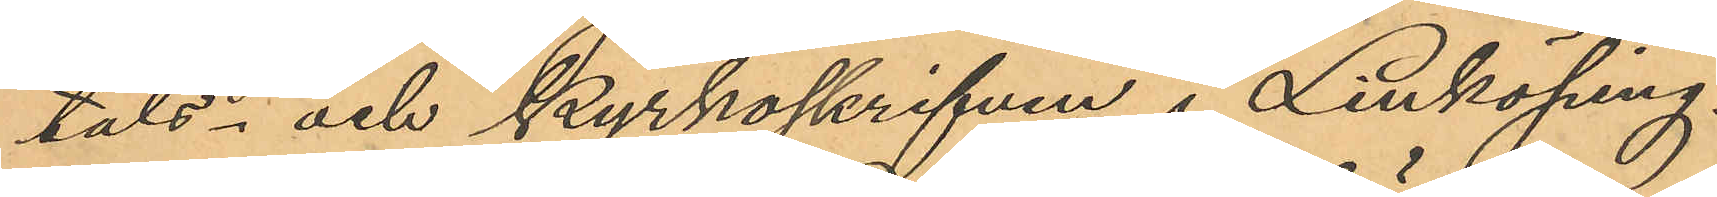tals- och kyrkoskrifven i Linköping.
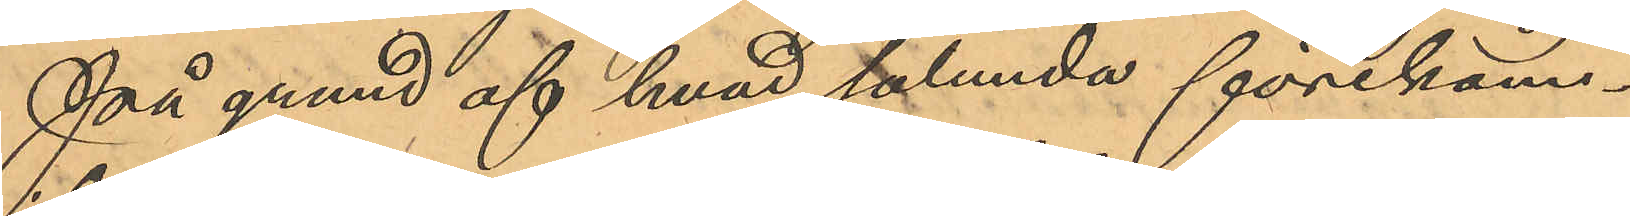På grund af hvad sålunda förekom¬
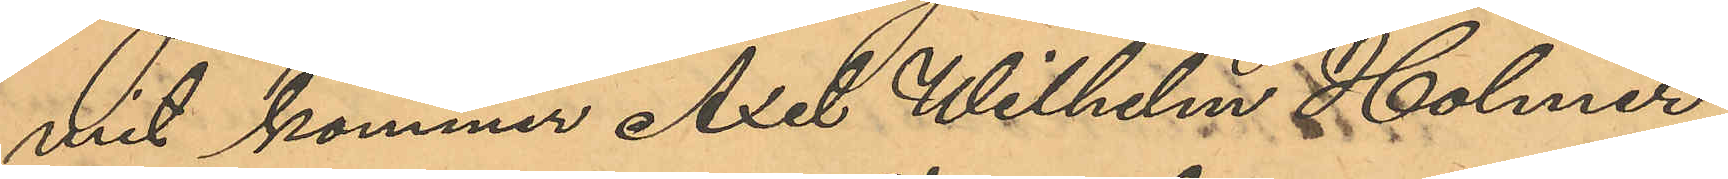mit kommer Axel Wilhelm Holmer,
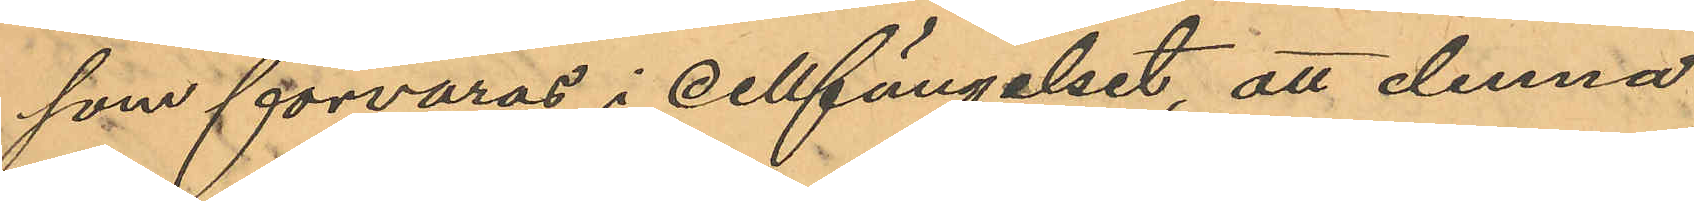som förvaras i cellfängelset, att denna
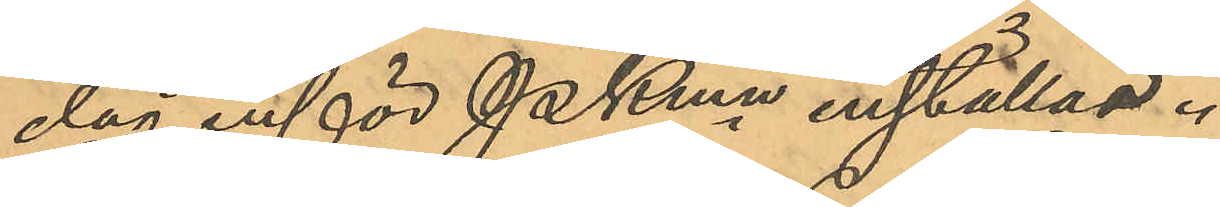dag inför PKmn inställas.
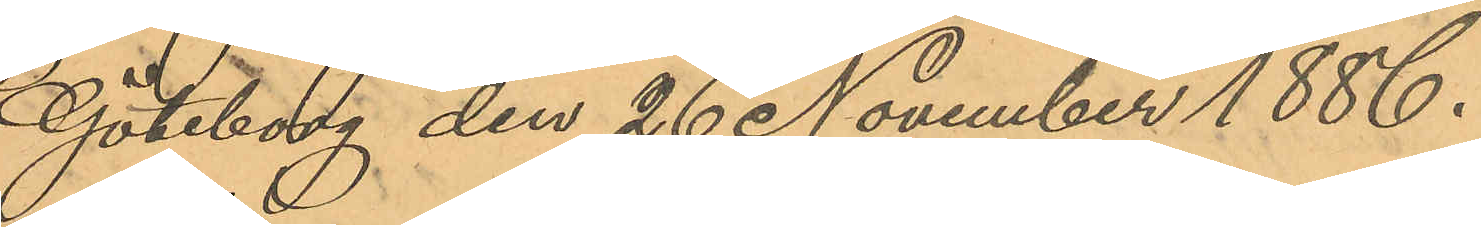Göteborg den 26 November 1886.
